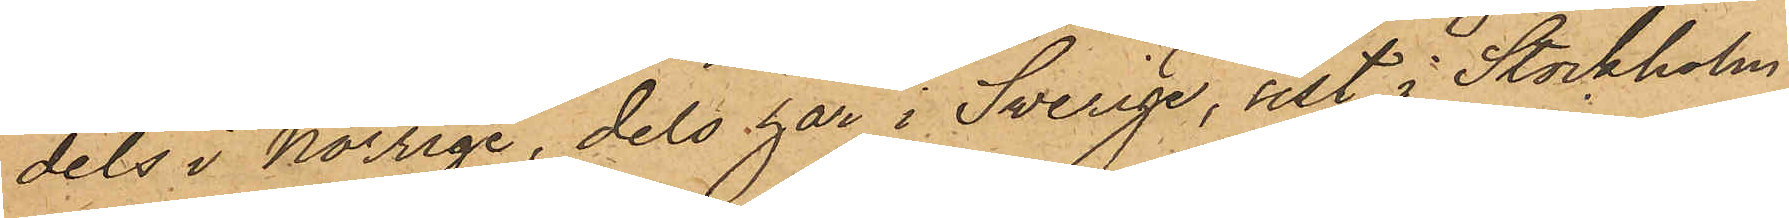dels i Norrige, dels här i Sverige, sist i Stockholm,
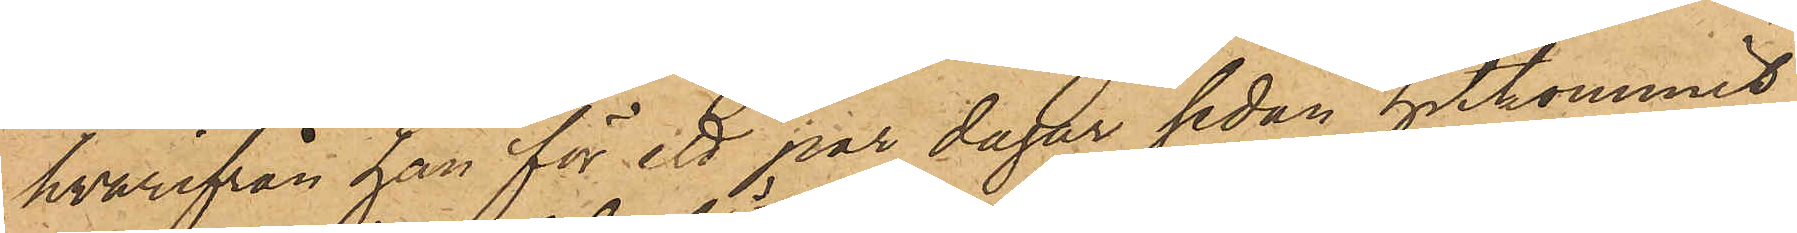hvarifrån han för ett par dagar sedan hitkommit,
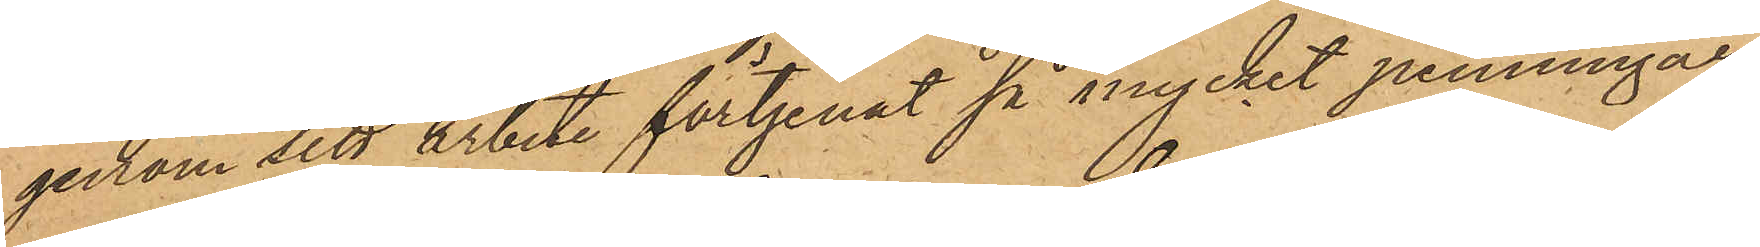genom sitt arbete förtjenat så mycket penningar,
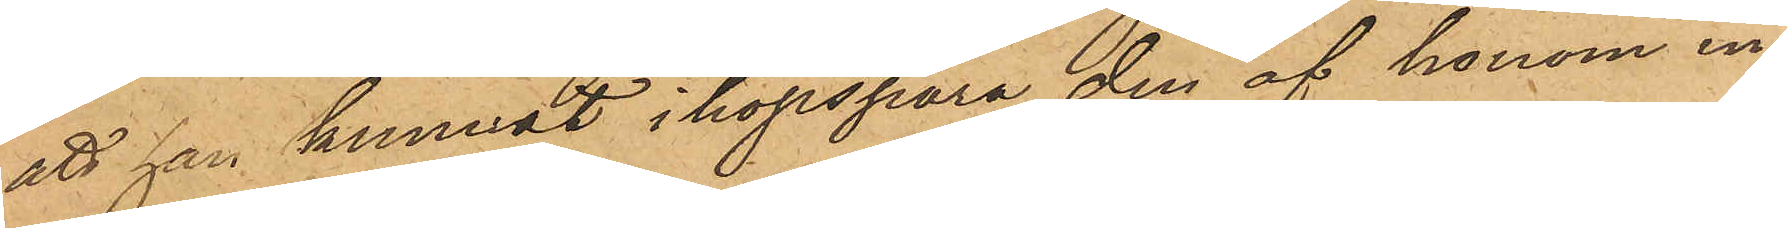att han kunnat ihopspara den af honom in¬
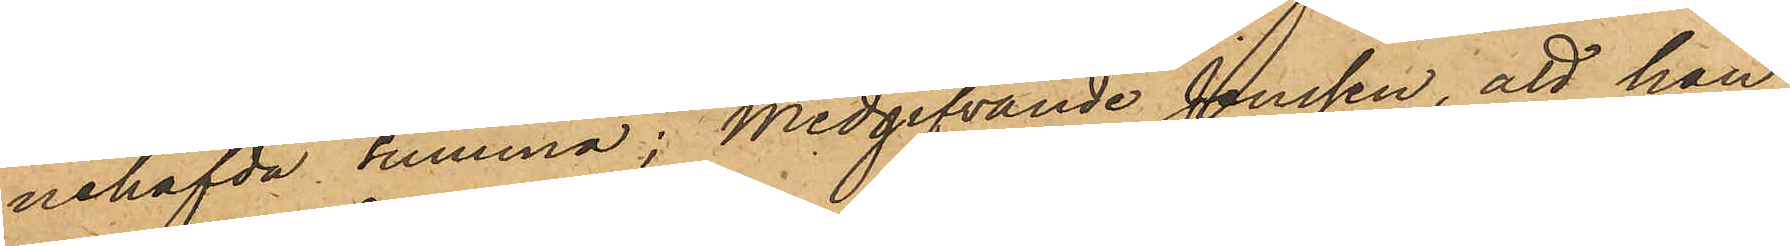nehafvda summa, medgifvande Jenssen, att han
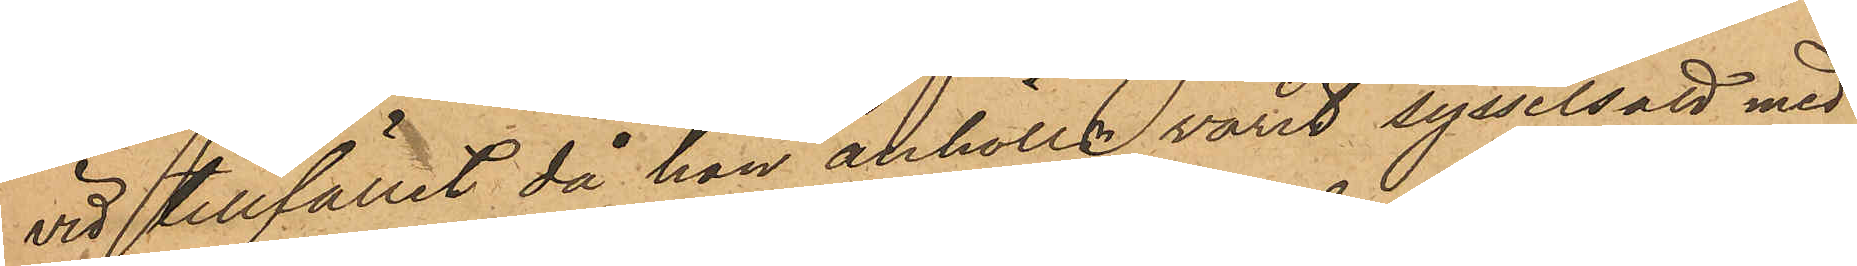vid tillfället då han anhölls varit sysselsatt med
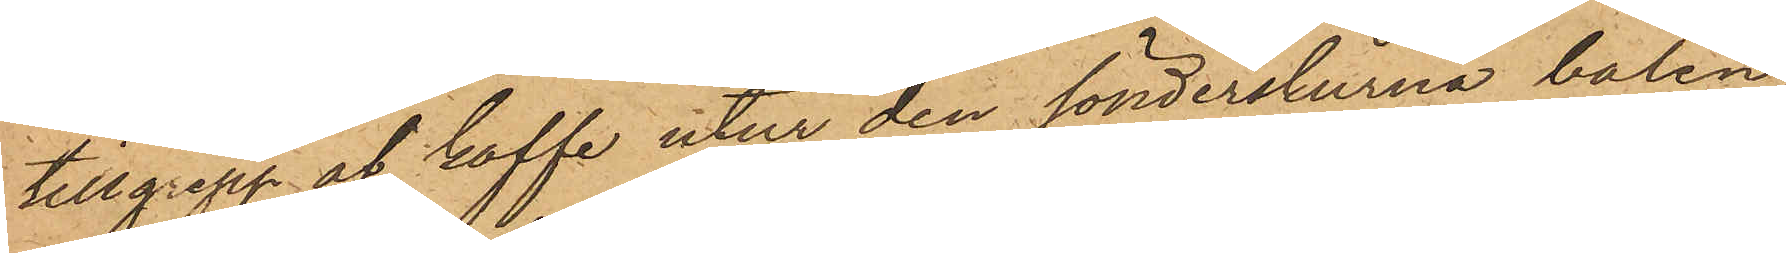tillgrepp af kaffe utur den sönderskurna balen,
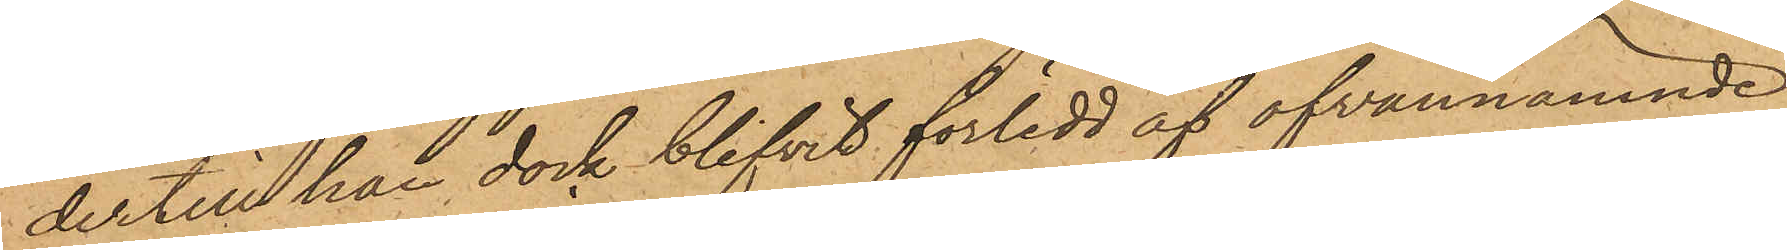dertill han dock blifvit förledd af ofvannämnde
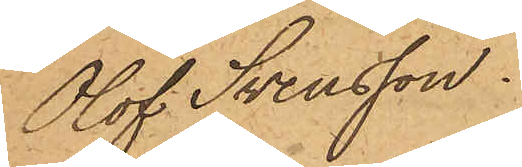Olof Svensson.
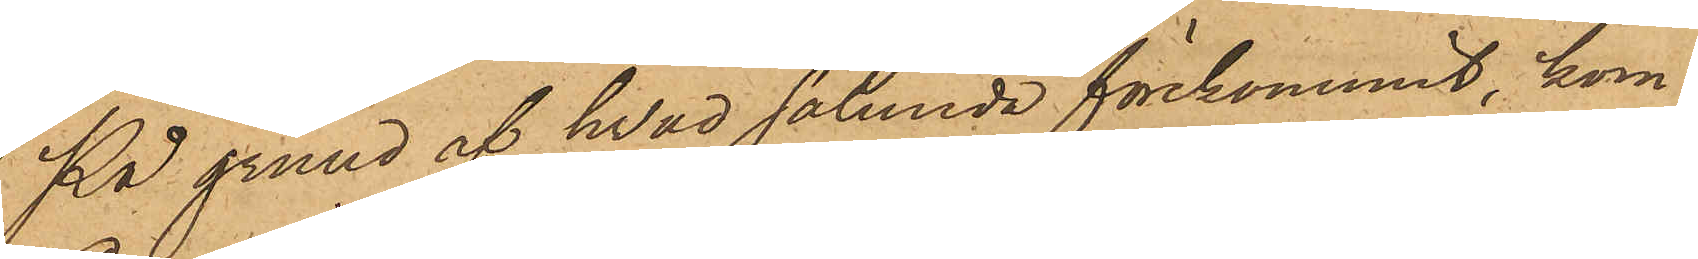På grund af hvad sålunda förekommit, kom¬
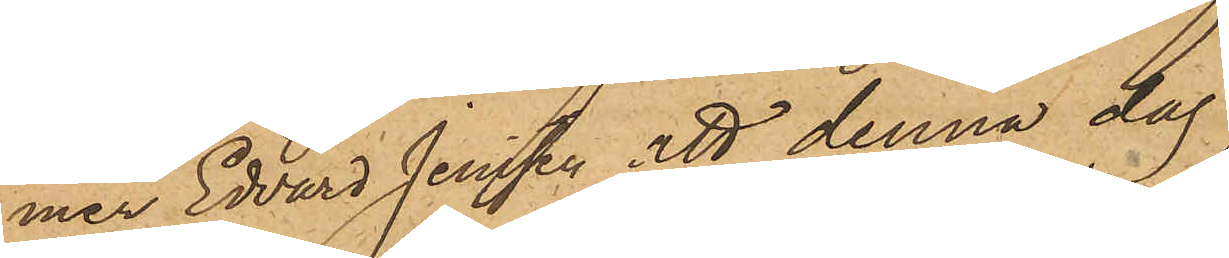mer Edvard Jenssen att denna dag
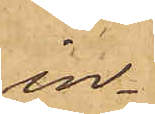in¬
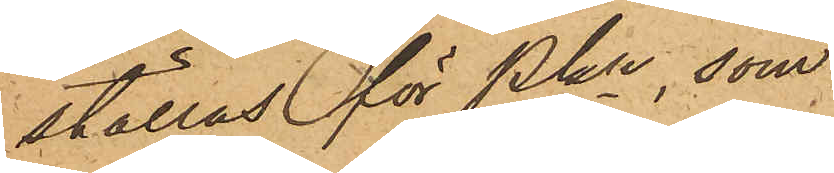ställas för Pkn, som
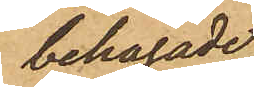behagade
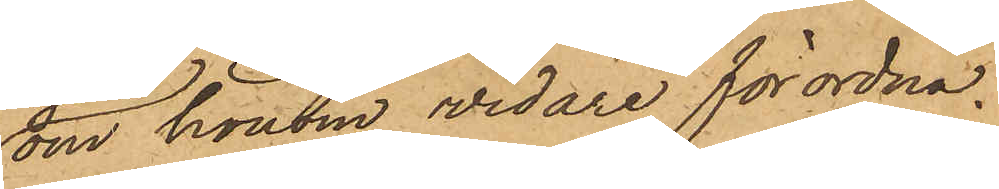om honom vidare förordna.
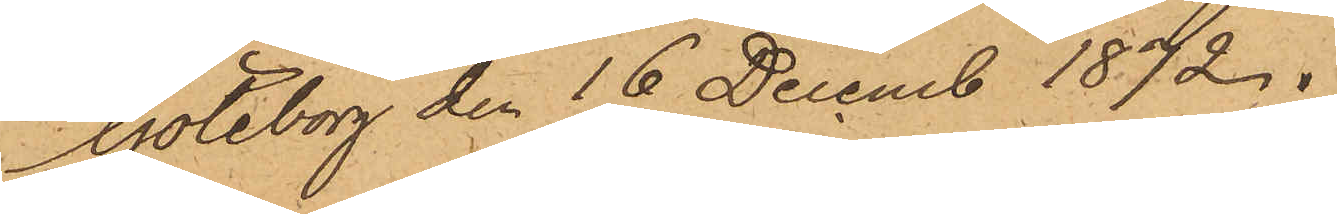Göteborg den 16 Decemb 1872.
